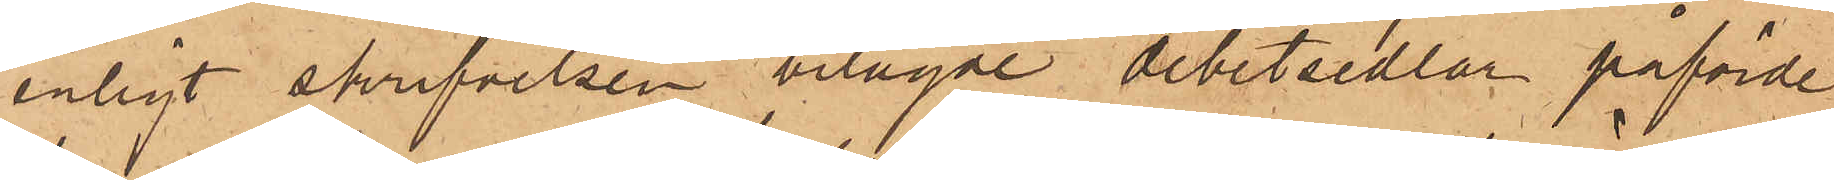enligt skrifvelsen bilagde debetsedlar påförde
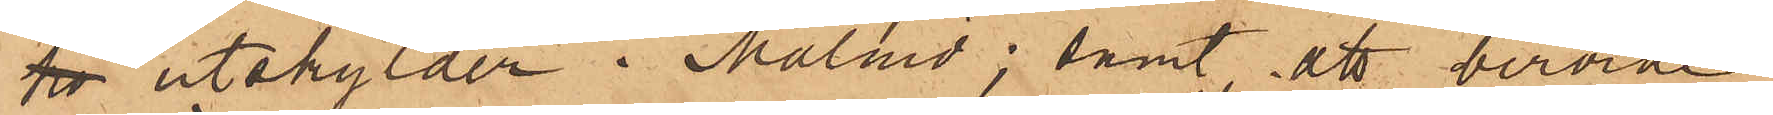ho utskylder i Malmö; samt att berörde
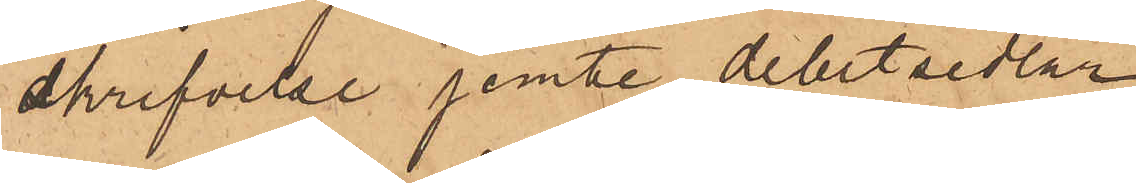skrifvelse jemte debetsedlar
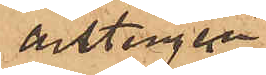antingen
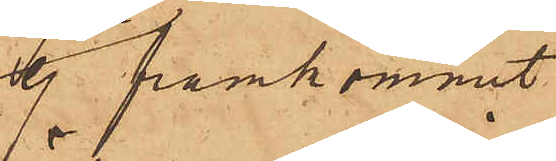ej framkommit
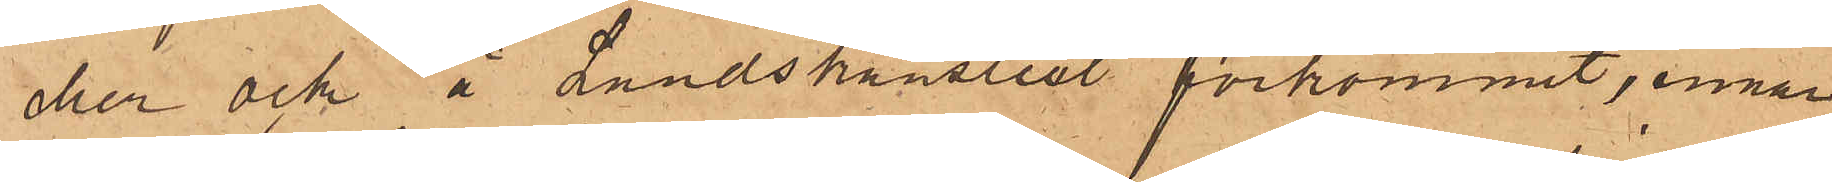eller och å Landskansliet förkommit, innan
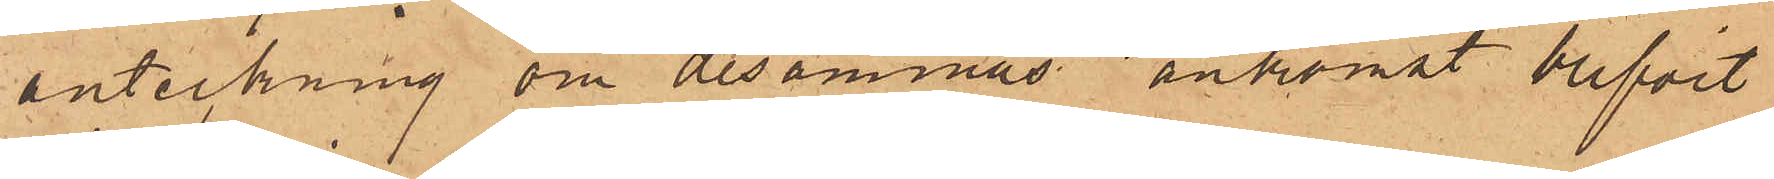anteckning om desammas ankomst blifvit
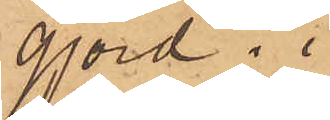gjord.
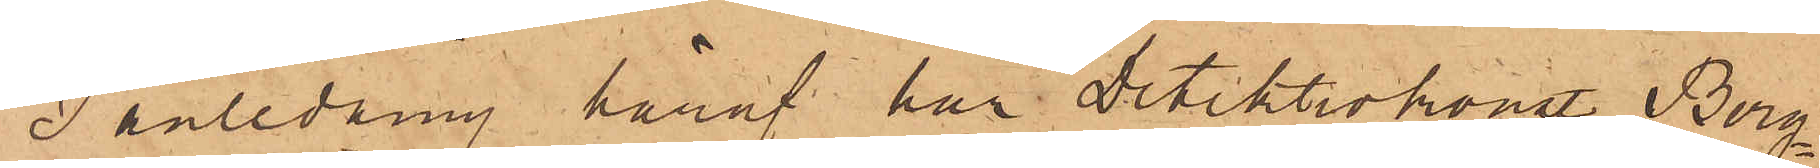I anledning häraf har Detektivkonst Berg¬
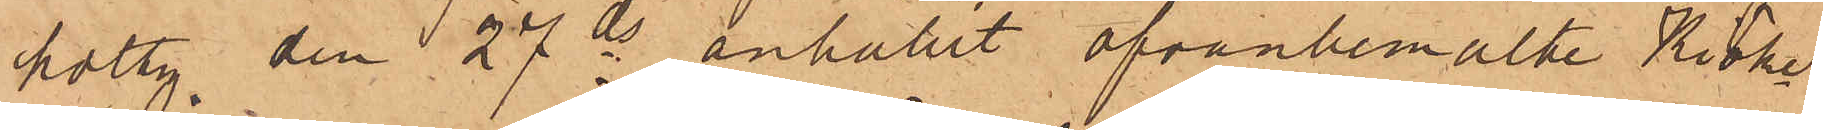holtz den 27 ds anhållit ofvanbemälde Kiöke¬
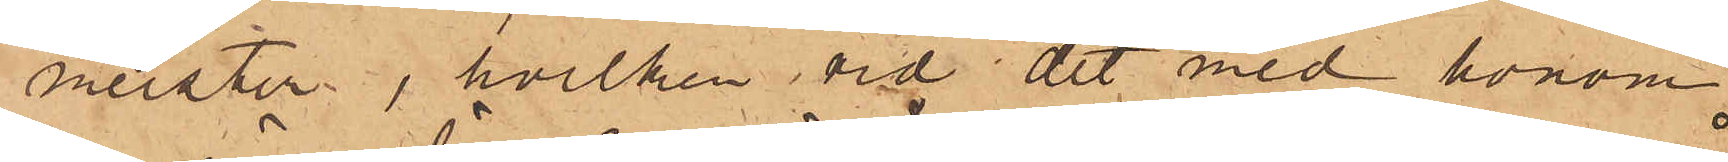meister, hvilken vid det med honom
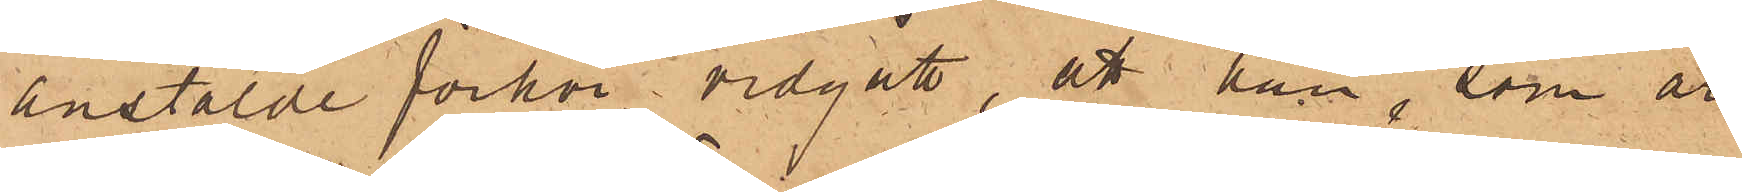anstälde förhör vidgått, att han, som år
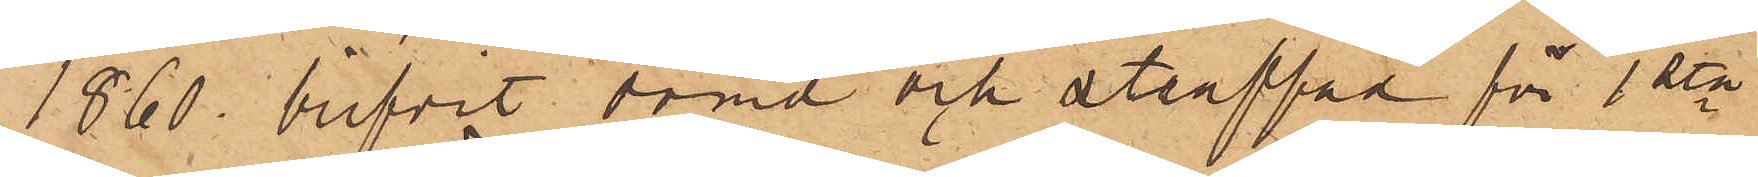1860, blifvit dömd och straffad för 1sta
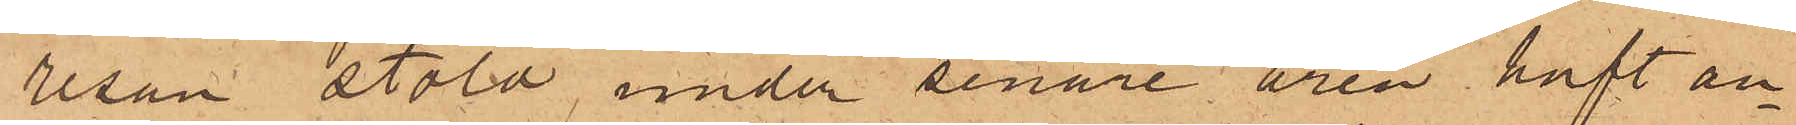resan stöld under senare åren haft an¬
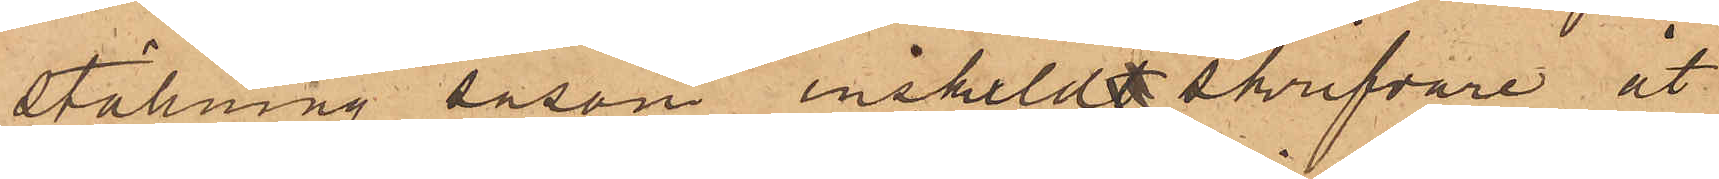ställning såsom enskildt skrifvare åt
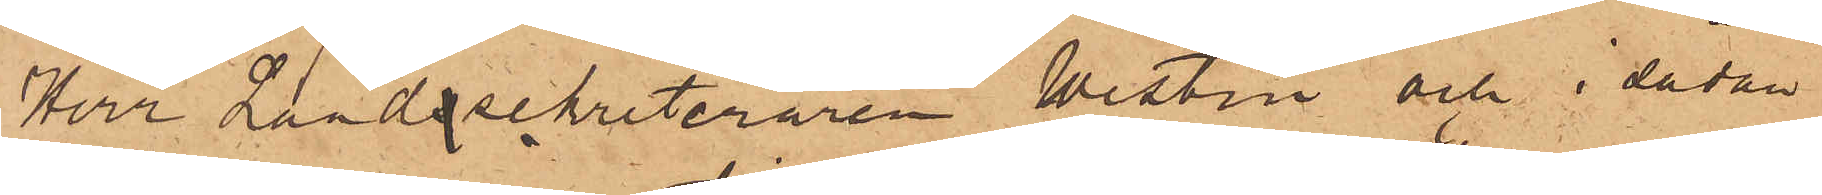Herr Landssekreteraren Westin och i sådan
